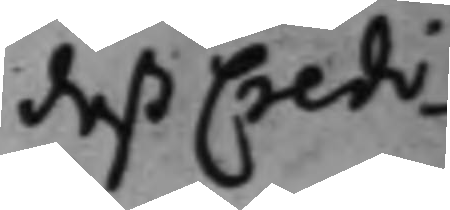deß Credi¬
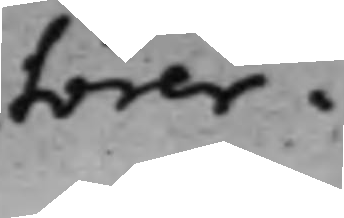torer.
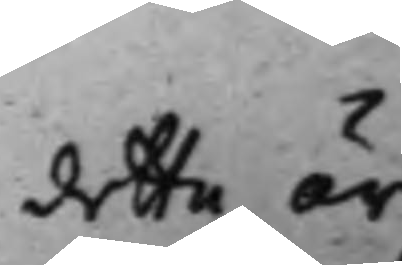detta är
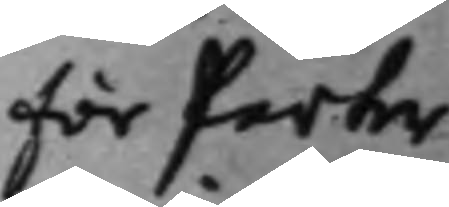för Parter¬
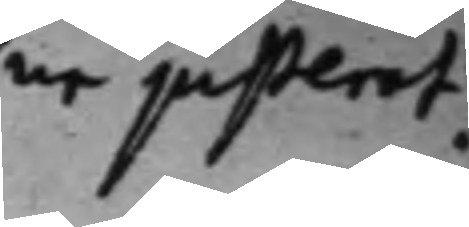ne justerat.
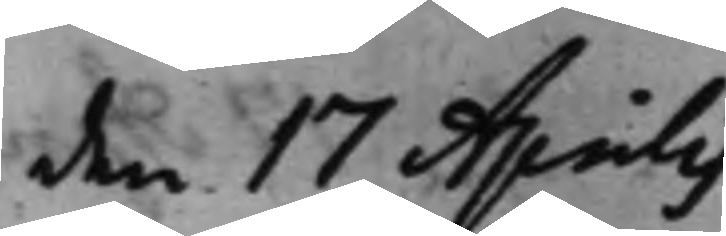den 17 Aprilis
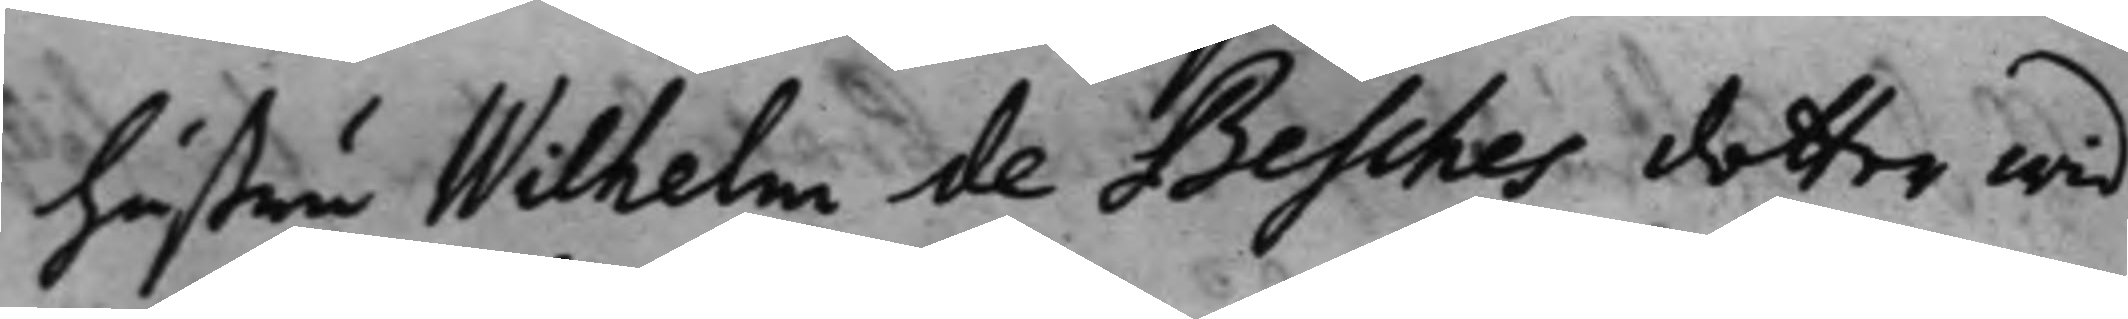hustru Wilhelm de Besches dotter wid
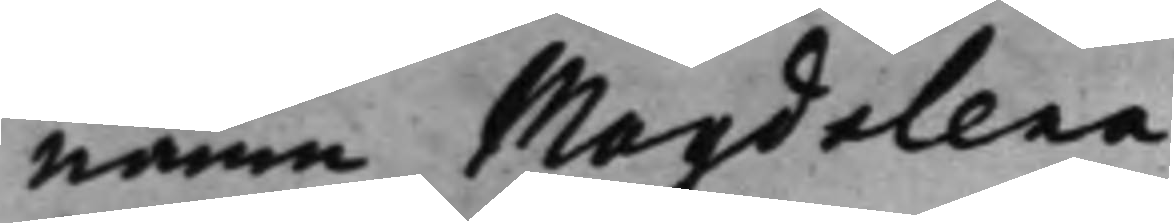namn Magdalena.
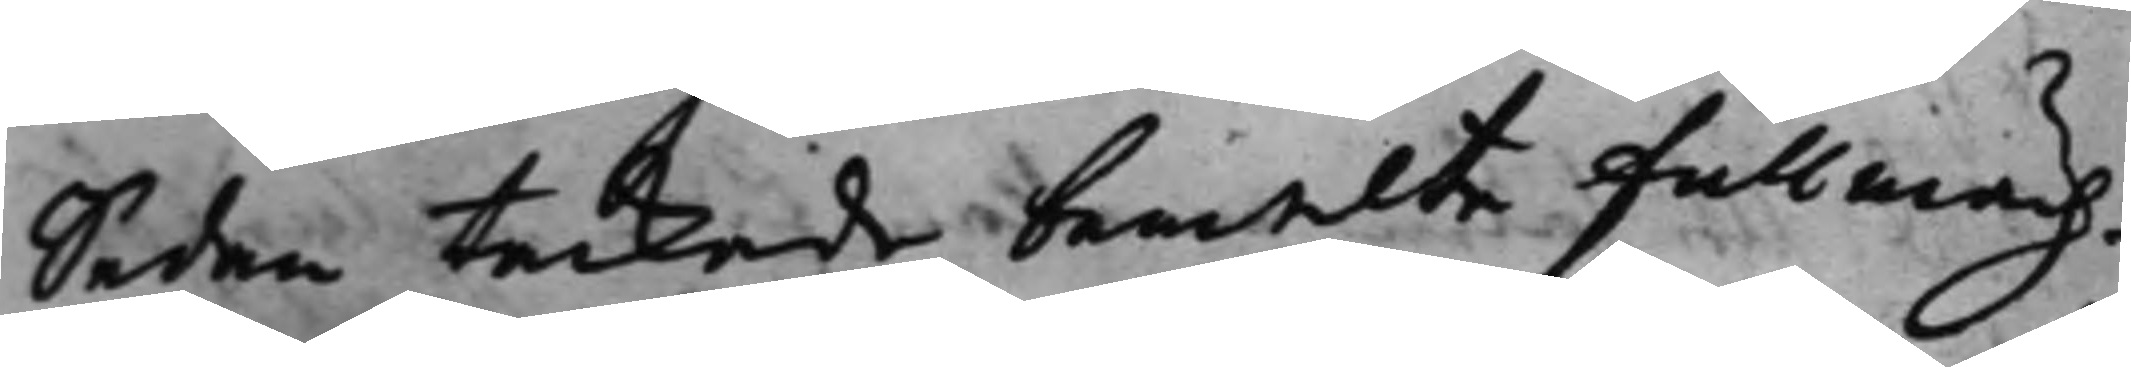Sedan tackade bemelte Fullmäch¬ 
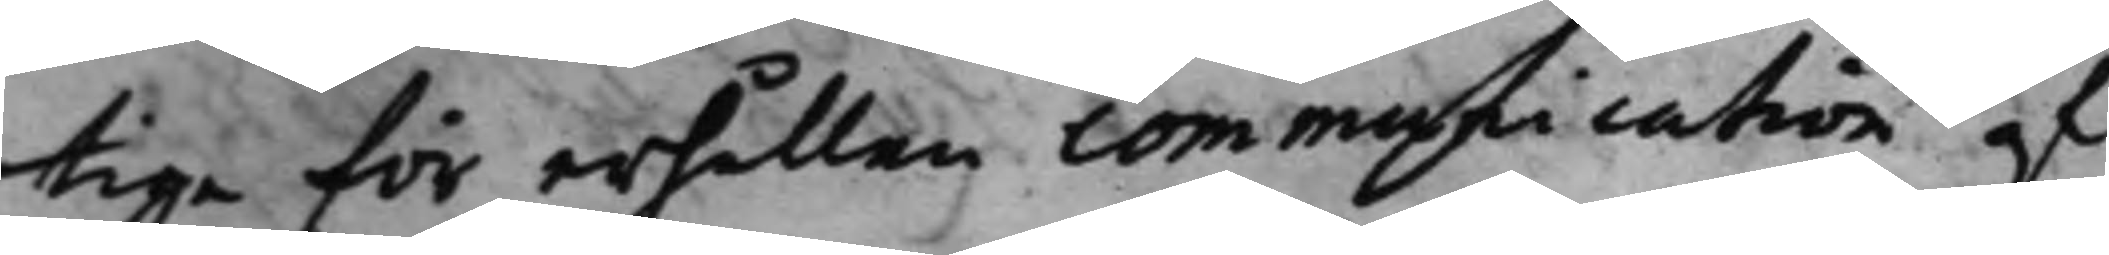tige för erhållen communication af
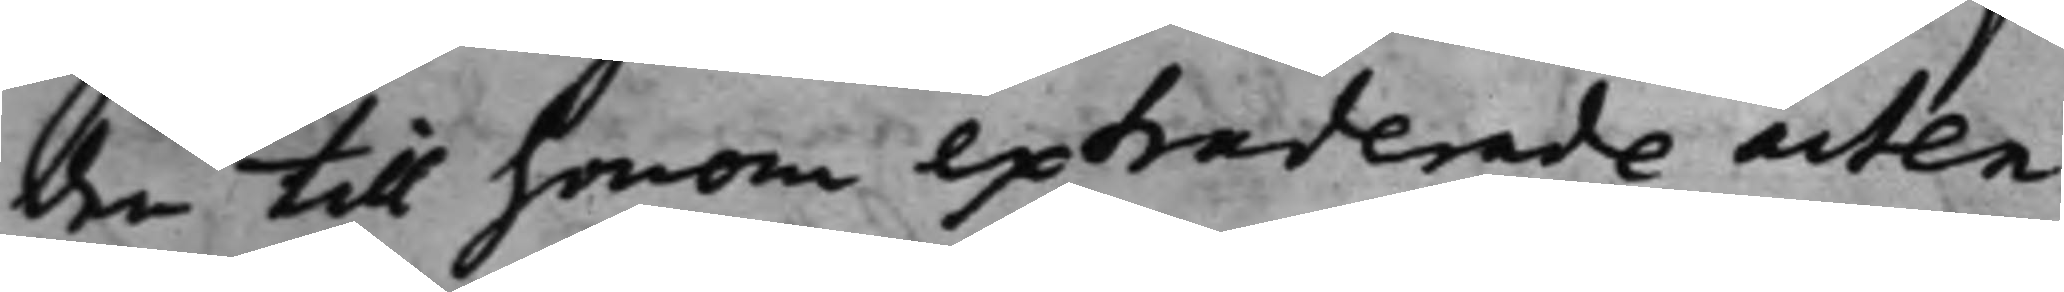den till honom extraderade acten
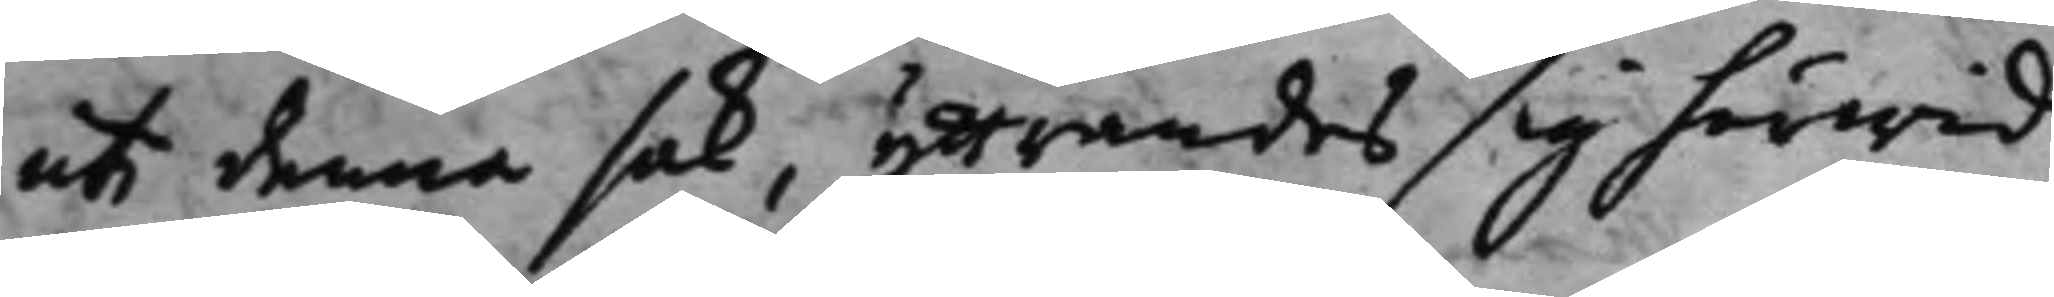uti denna sak,yttrandes sig härwid,
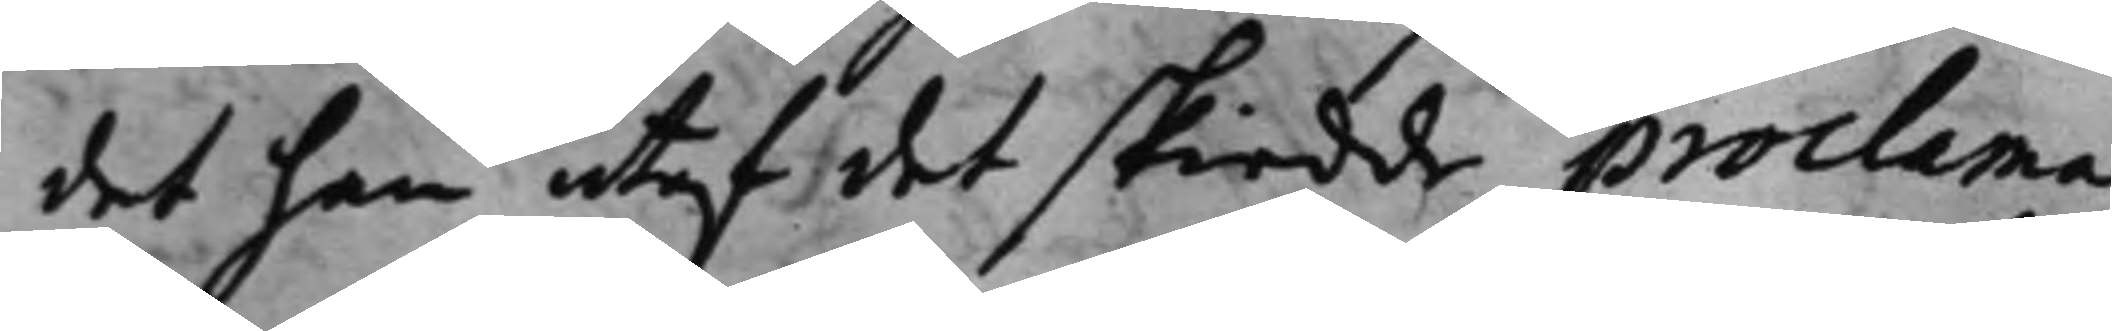det han utaf det skiedde proclema
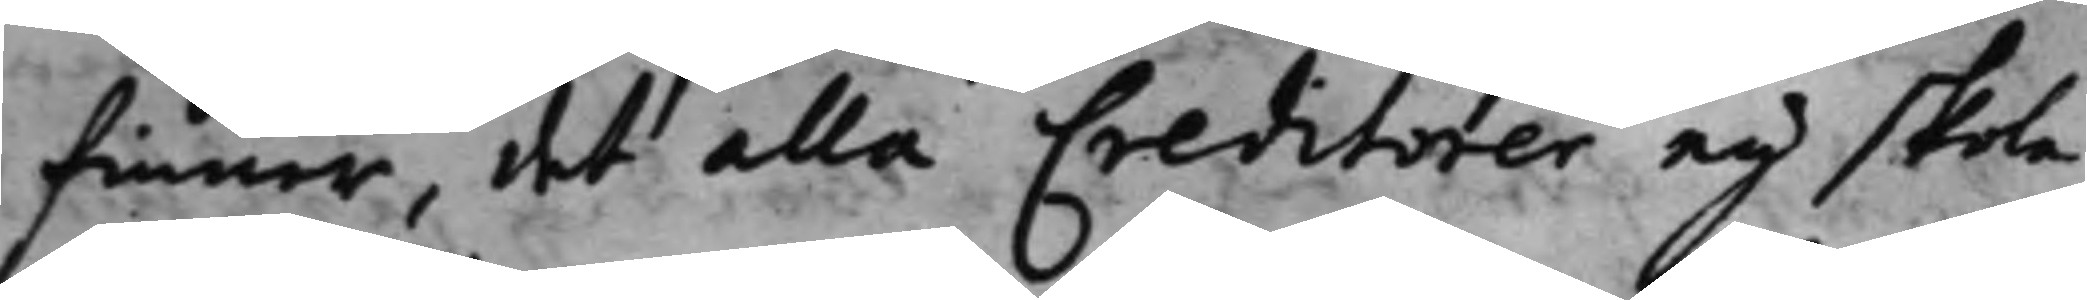finner, det alla Creditorer eij skola
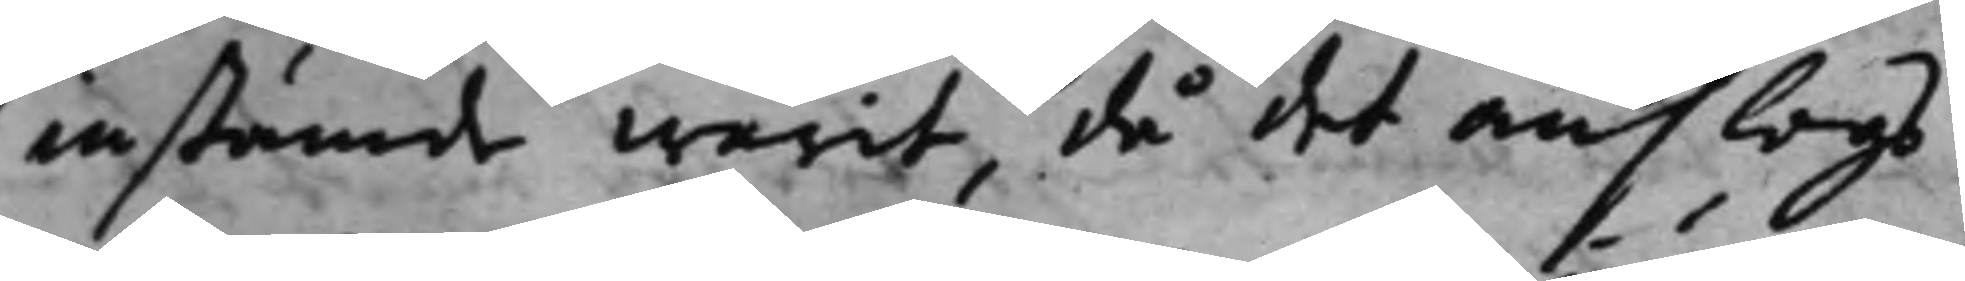instämde warit, då det anslogs.
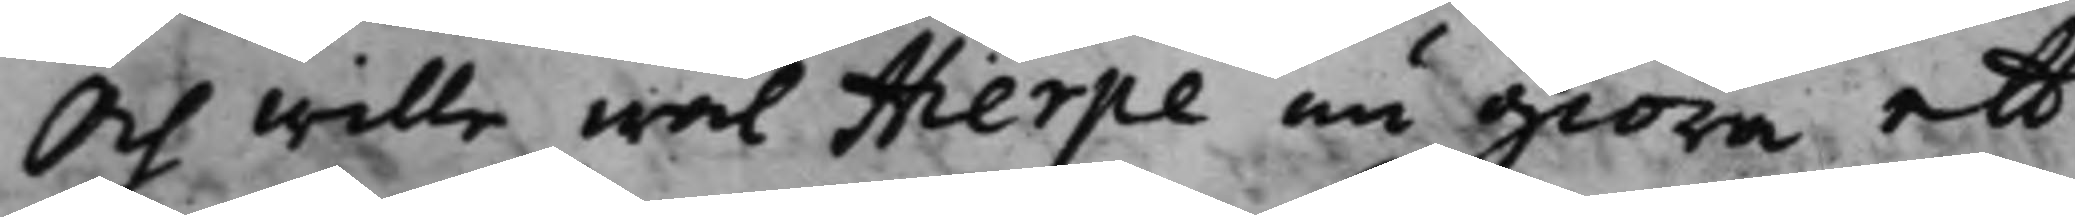Och wille wäl Hierpe nu giöra ett
